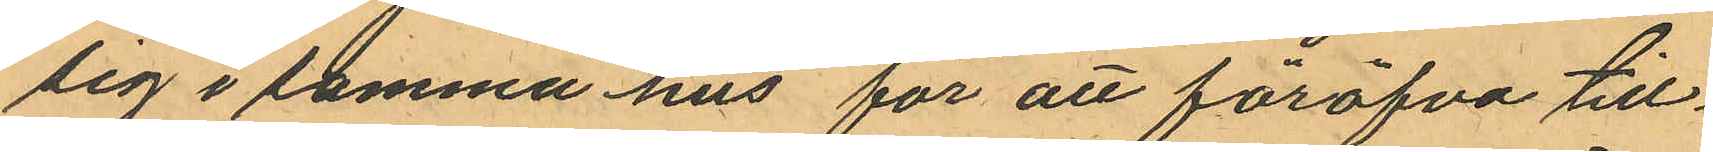sig i samma hus för att föröfva till¬
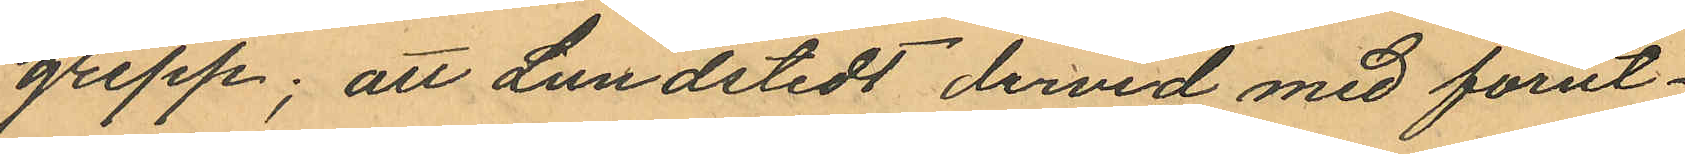grepp; att Lundstedt dervid med förut¬
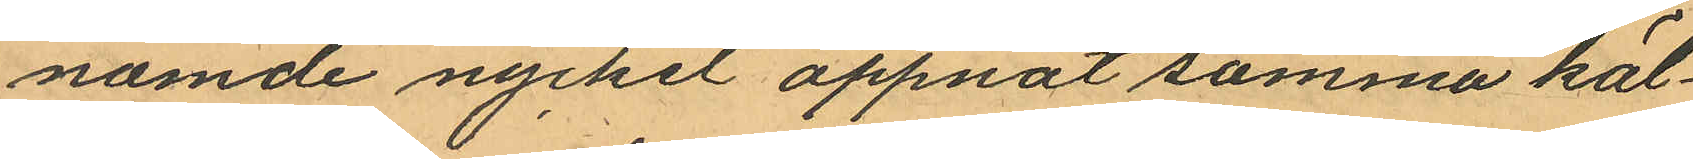nämde nyckel öppnat samma käl¬
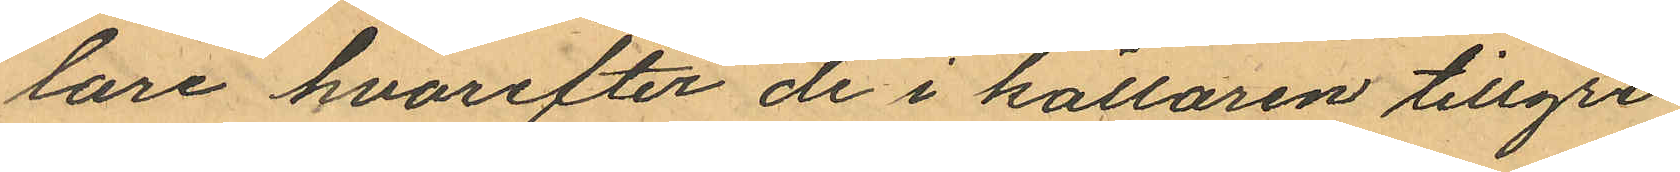lare hvarefter de i källaren tillgri¬
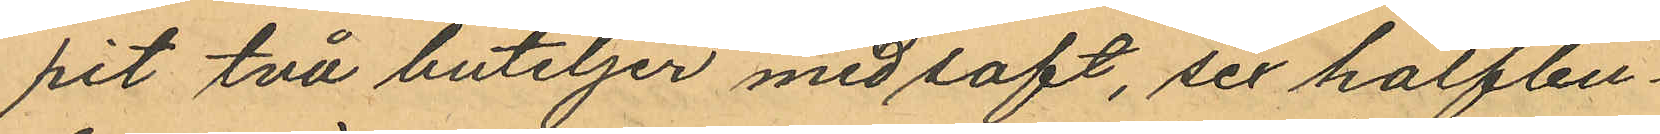pit två buteljer med saft, sex halfbu¬
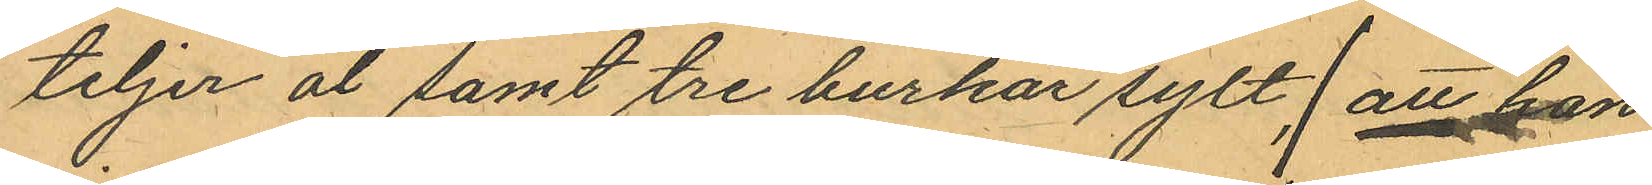teljer öl samt tre burkar sylt, att han
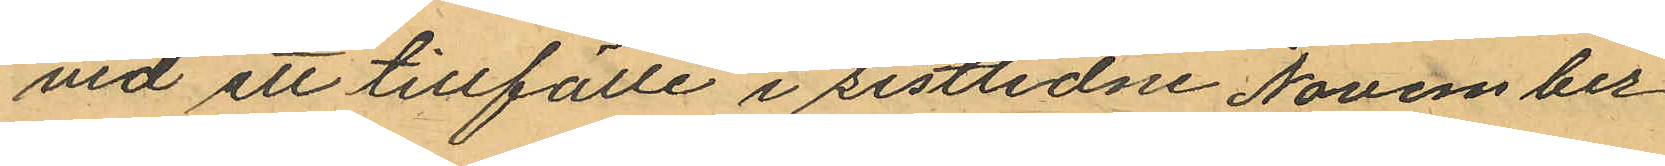vid ett tillfälle i sistlidne November
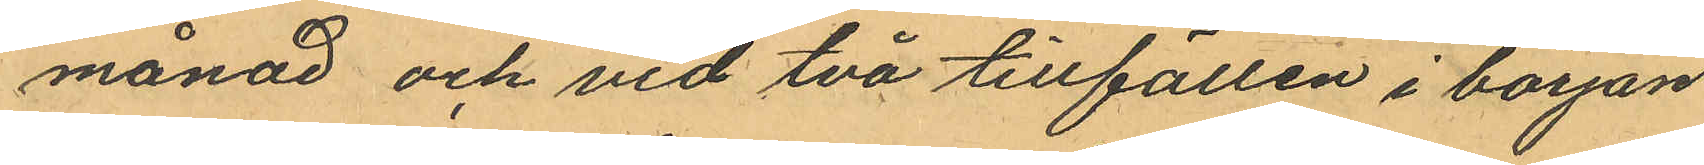månad och vid två tillfällen i början
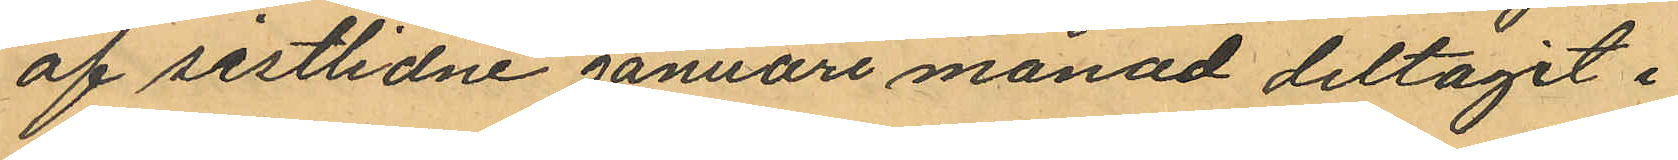af sistlidne januari månad deltagit i
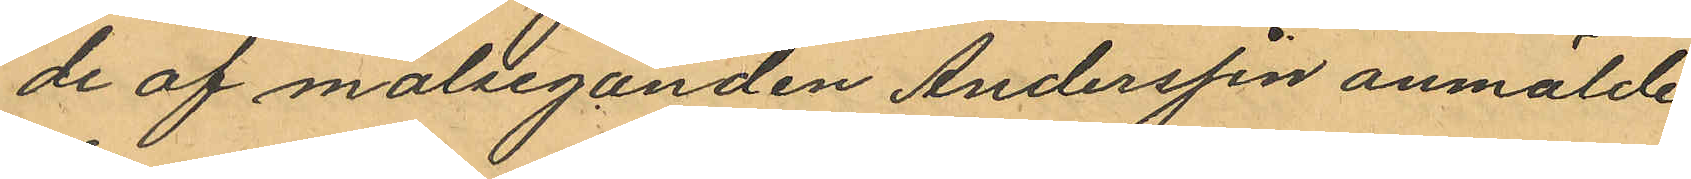de af målseganden Andersson anmälde
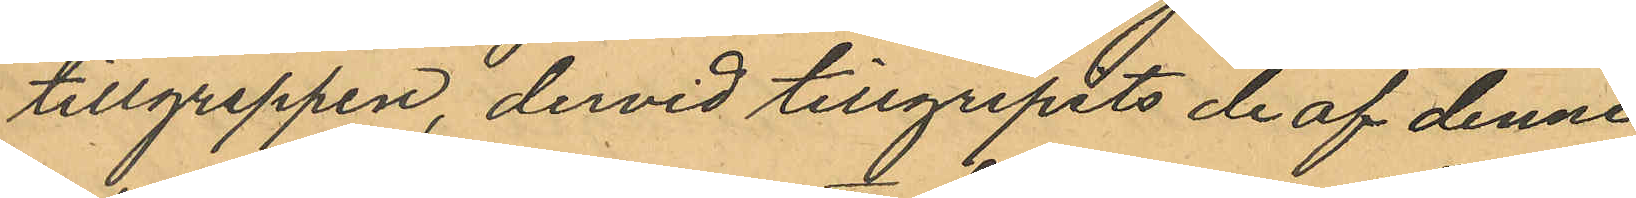tillgreppen, dervid tillgripits de af denne
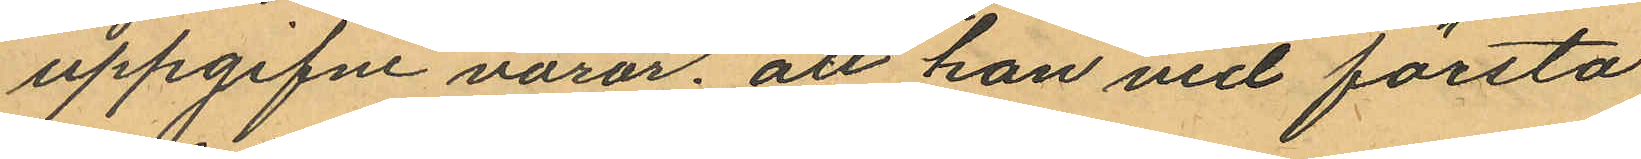uppgifne varor; att han vid första
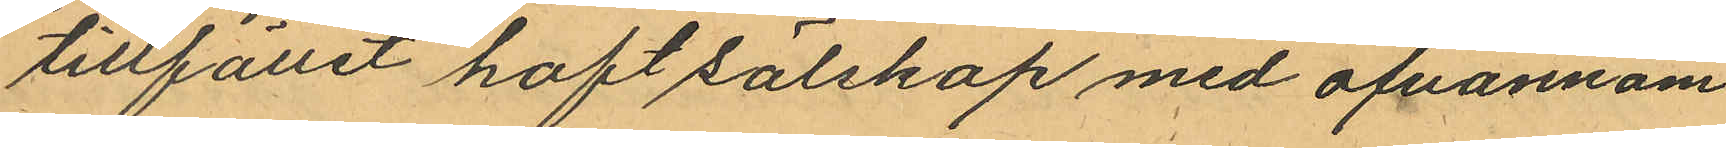tillfället haft sälskap med ofvannäm¬
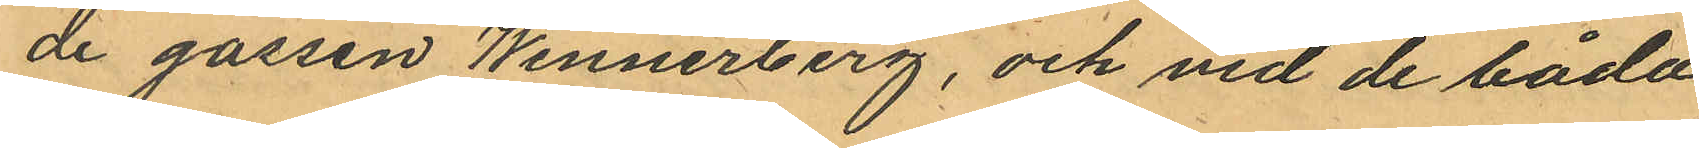de gossen Wennerberg, och vid de båda
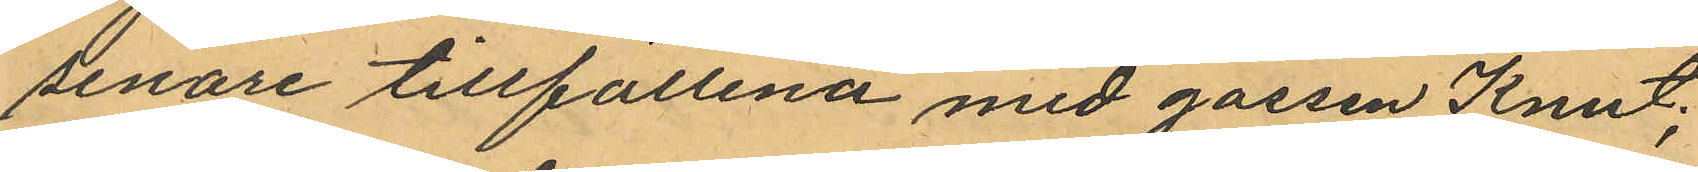senare tillfällena med gossen Knut;
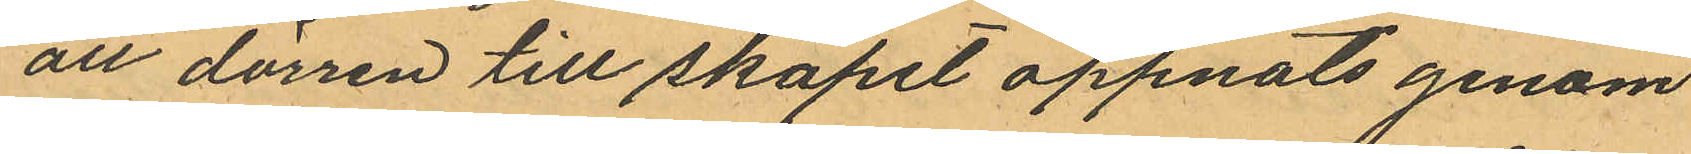att dörren till skåpet öppnats genom
